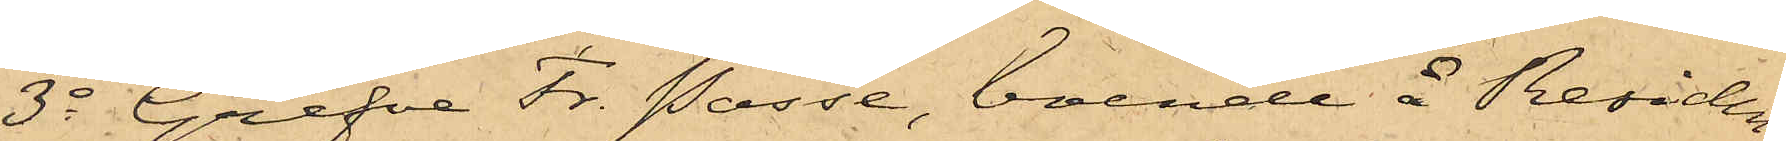3o Grefve Fr. Posse, boende å Residen¬
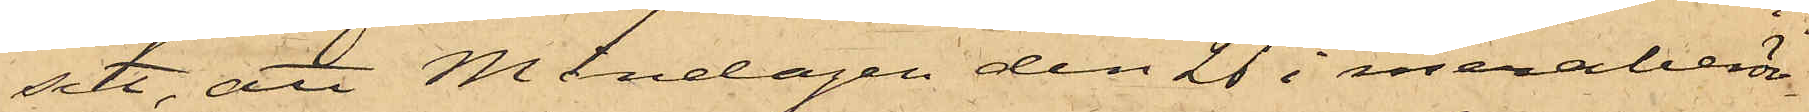set, att Måndagen den 26 i meraberör¬
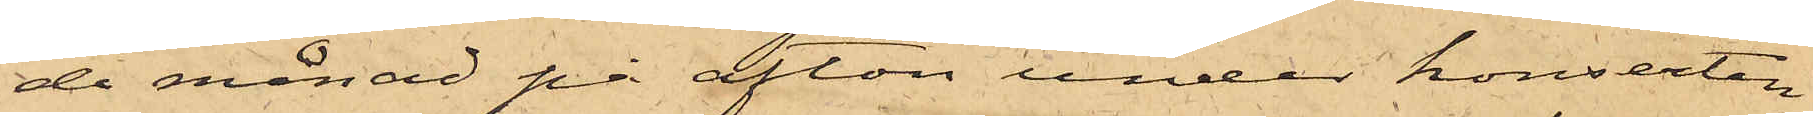de månad på afton under konserten
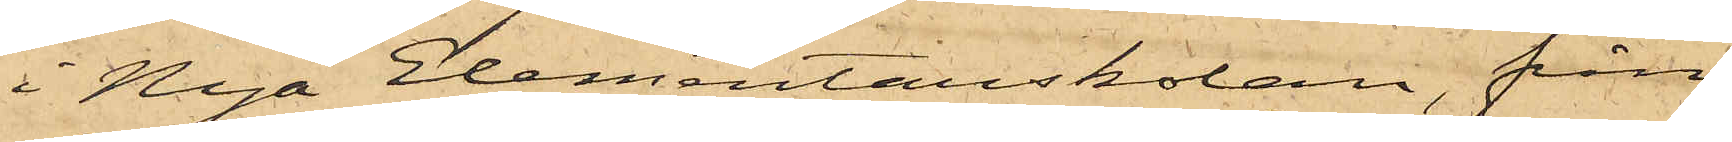i Nya Elementarskolan, från
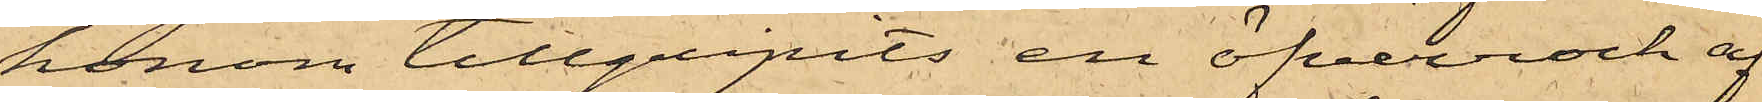honom tillgripits en öfverrock af
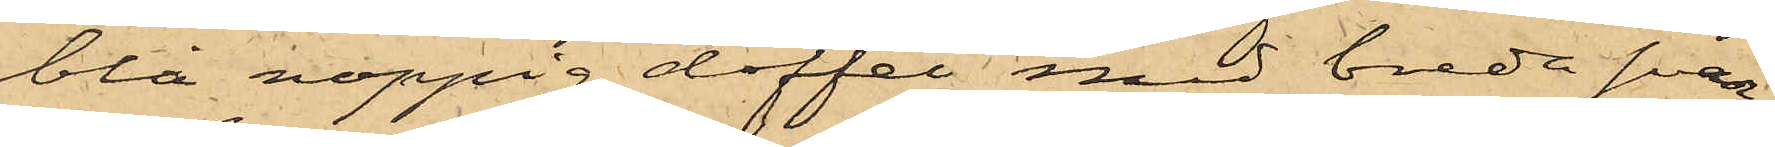blå noppig doffel med breda svar¬
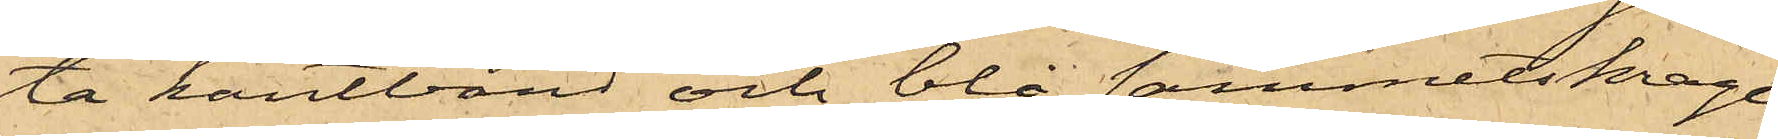ta kantband och blå sammetskrage
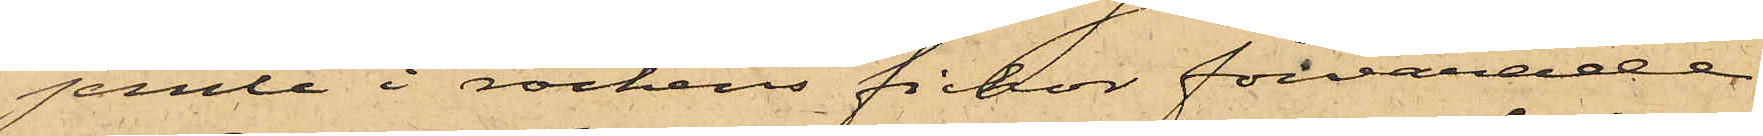jemte i rockens fickor förvarade
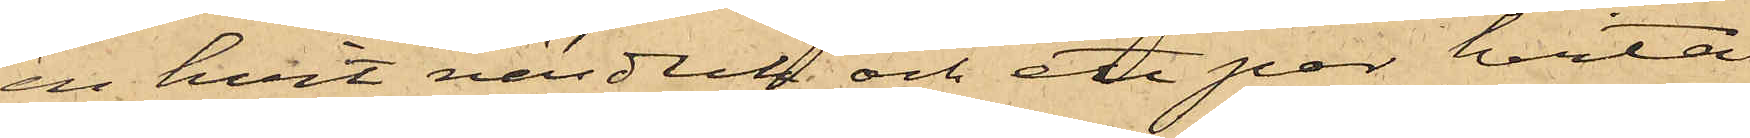en hvit näsduk och ett par hvita
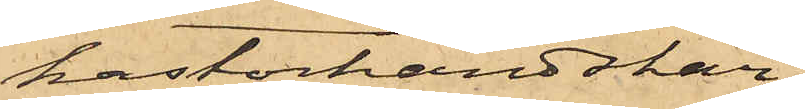kastorhandskar;
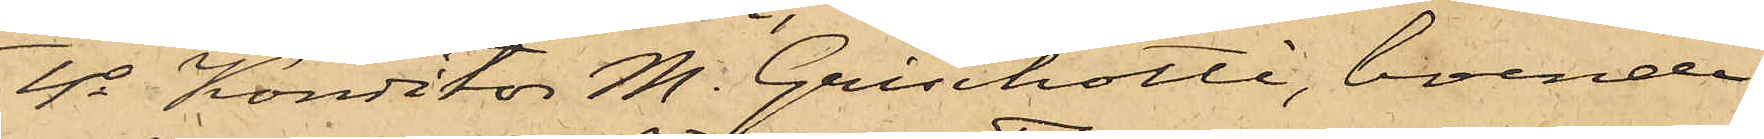4o Konditor M. Grischotti, boende
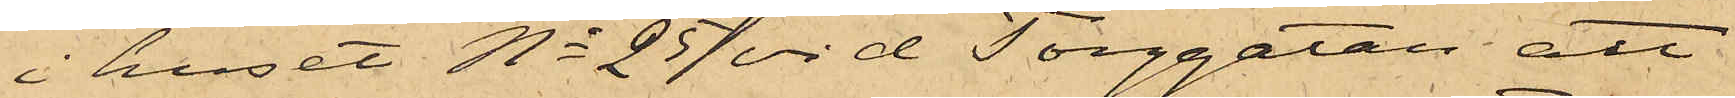i huset No 25 vid Torggatan, att
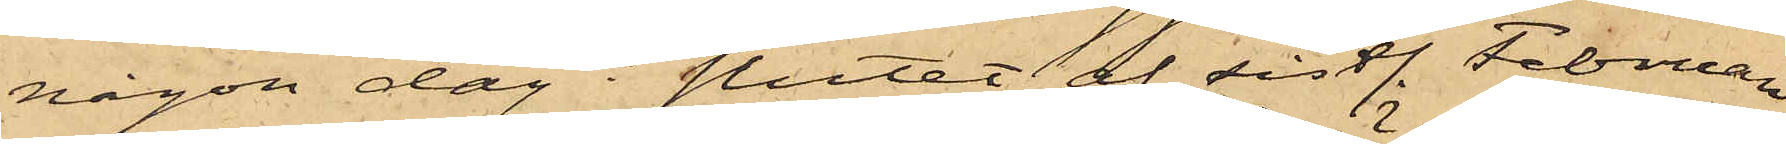någon dag i slutet af sistl. Februari
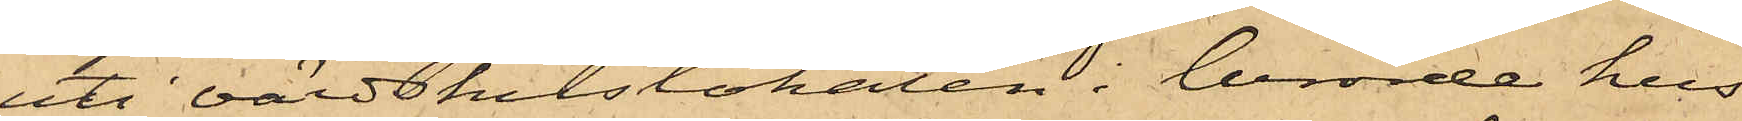uti värdshuslokalen i berörde hus
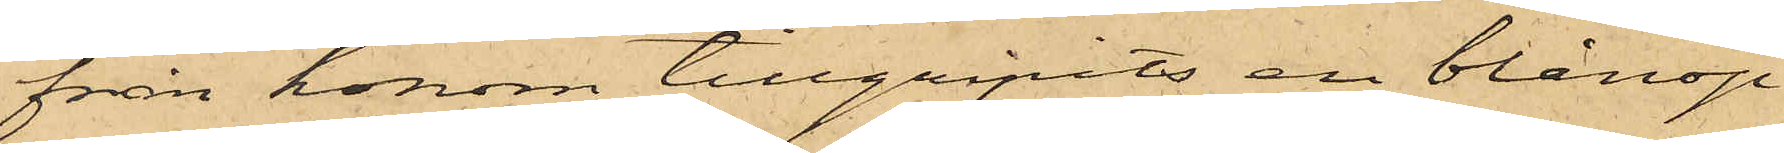från honom tillgripits en blånop¬
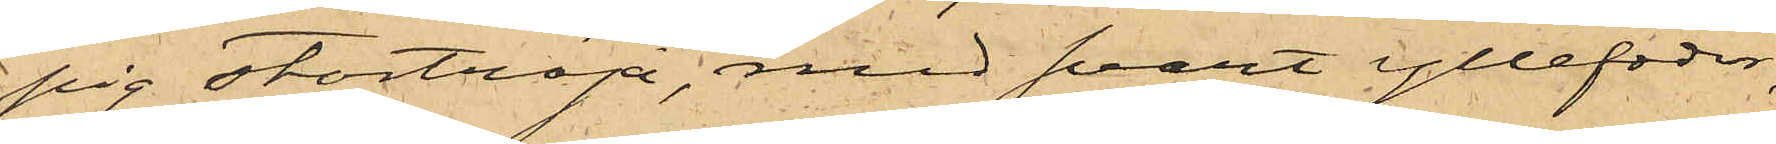pig stortröja, med svart yllefoder,
